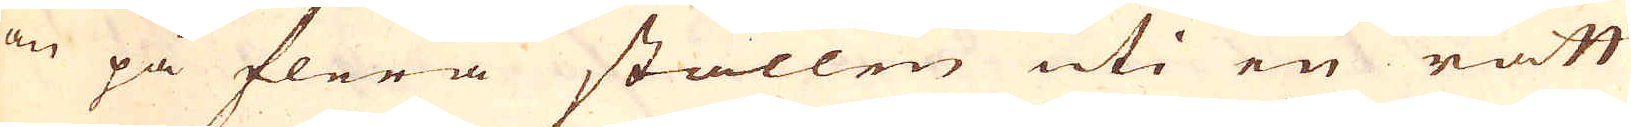den på flera ställen uti en rätt
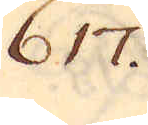617.
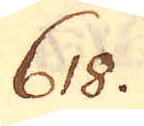618.
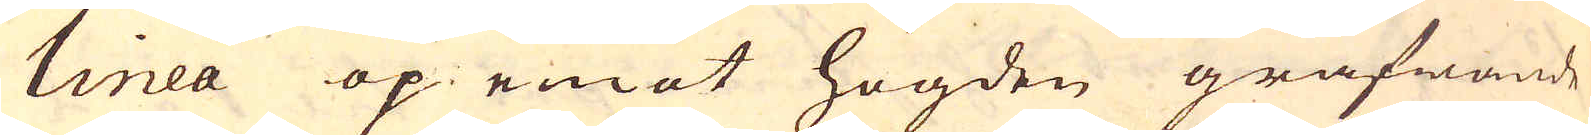linea op emot högden gräfwande
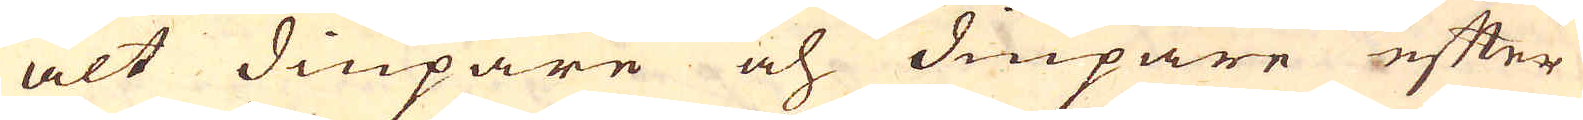alt diupare och diupare efter
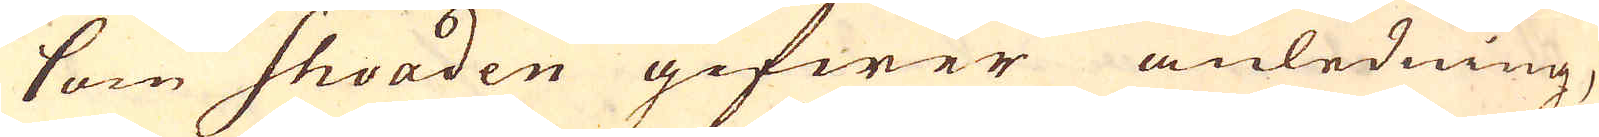som shoaden gifwer anledning,
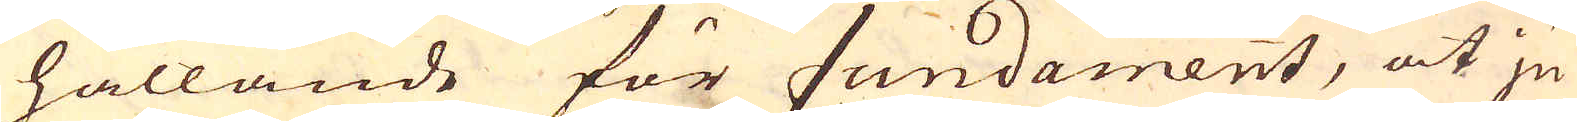hållande för fundament, at ju
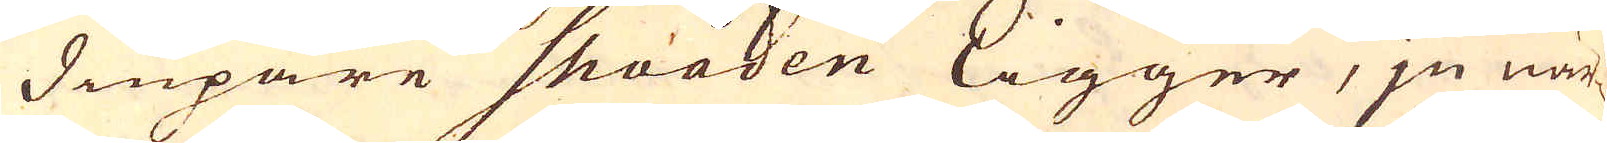diupare shoaden ligger, ju när-
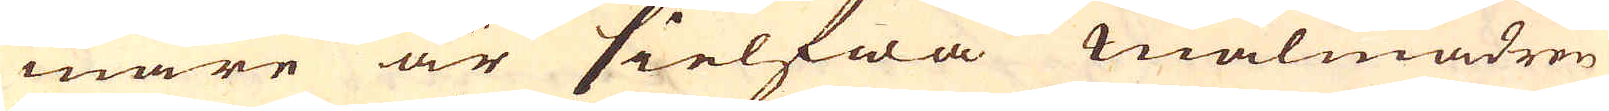mare är sielfwa malmådren
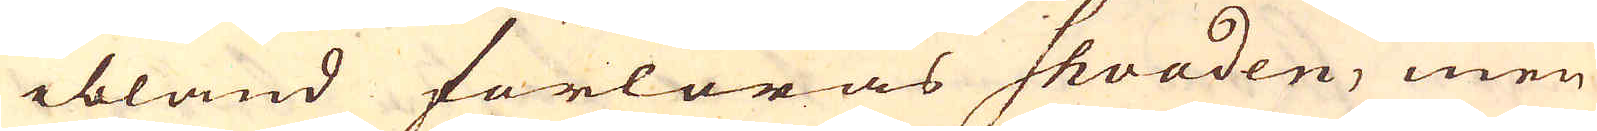ibland förloras shoaden, men
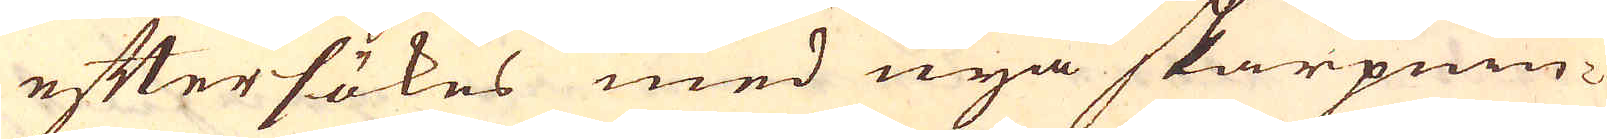eftersökes med nya skarpnin-
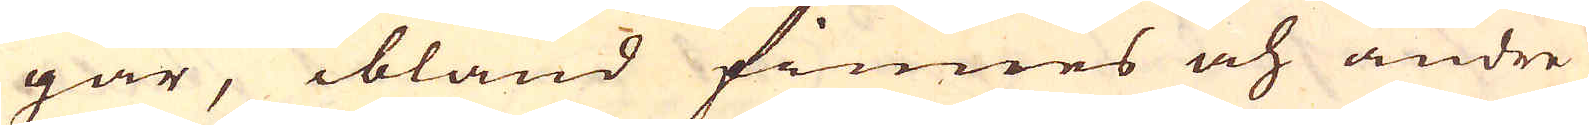gar, ibland finnes och andre
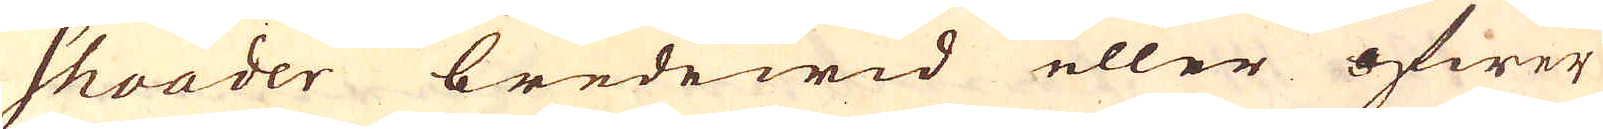shoader bredewid eller öfwer
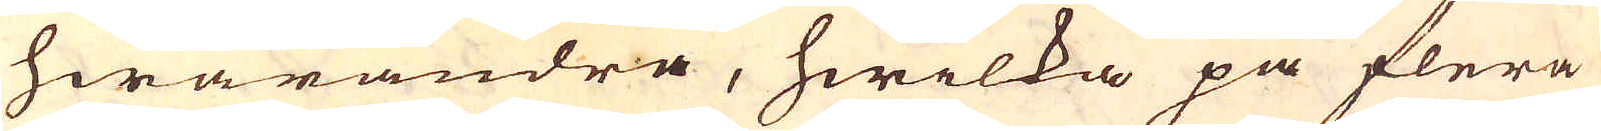hwarandra, hwilka på flera
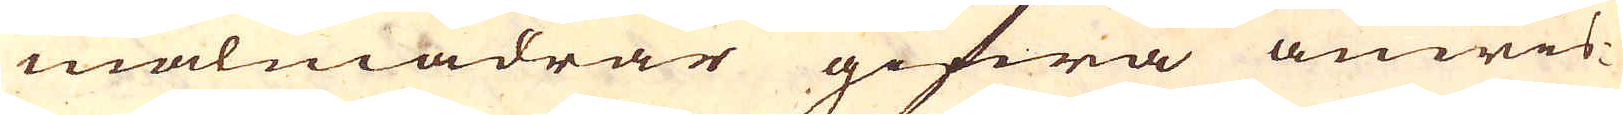malmådrar gifwa anwis-
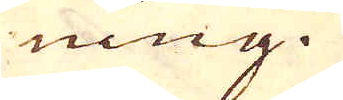ning.
